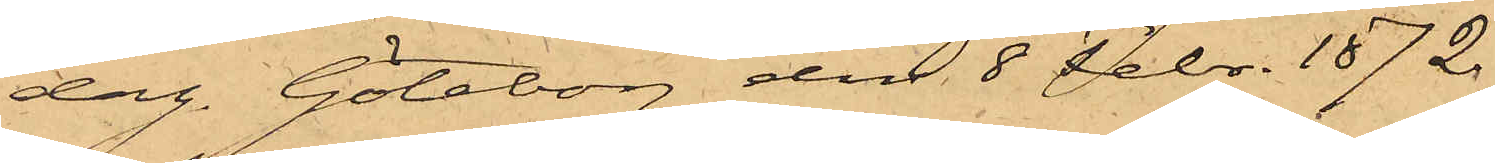dag. Göteborg den 8 Febr. 1872.
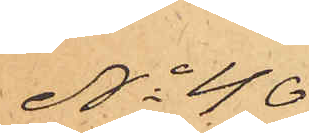No 40
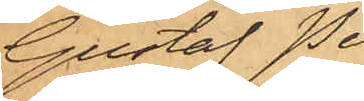Gustaf Pe¬
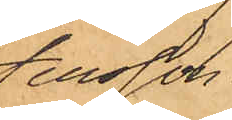tersson.
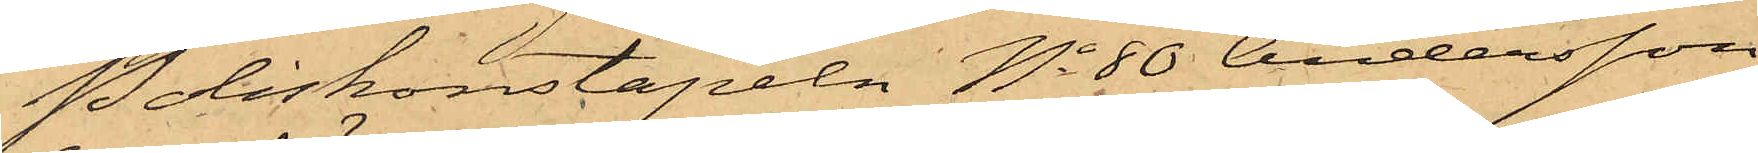Poliskonstapeln No 80 Andersson
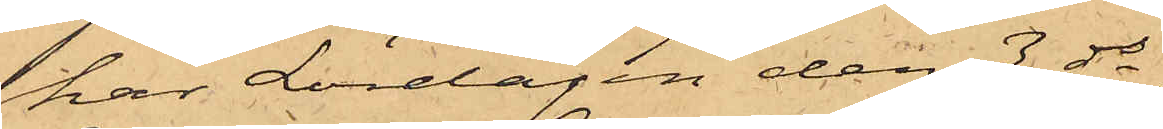har Lördagen den 3 ds,
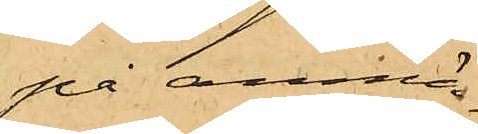på anmäl¬
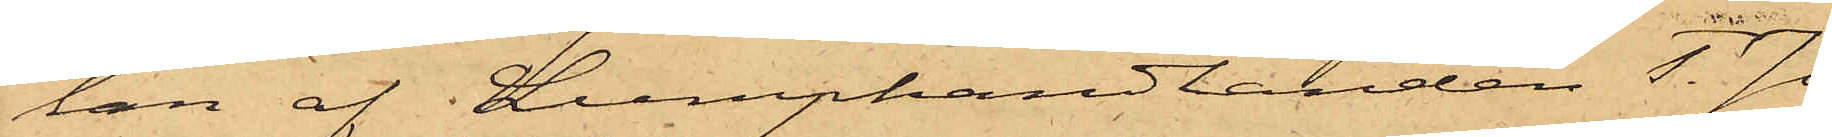lan af Lumphandlanden T. Jo¬
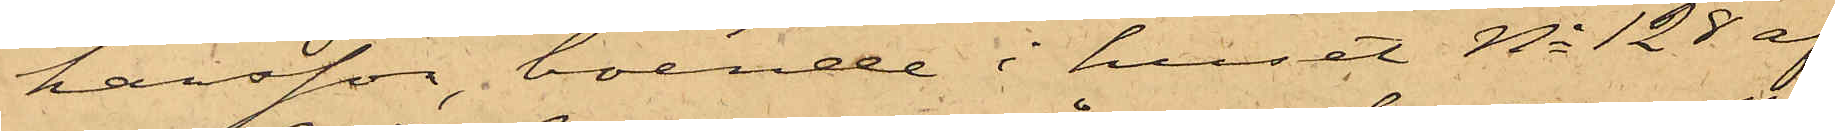hansson, boende i huset No 128 af
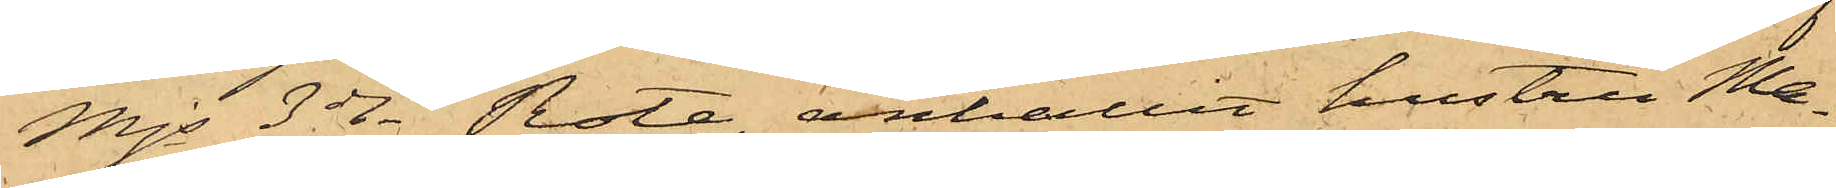Mjs 3dje Rote, anhållit hustru Ma¬
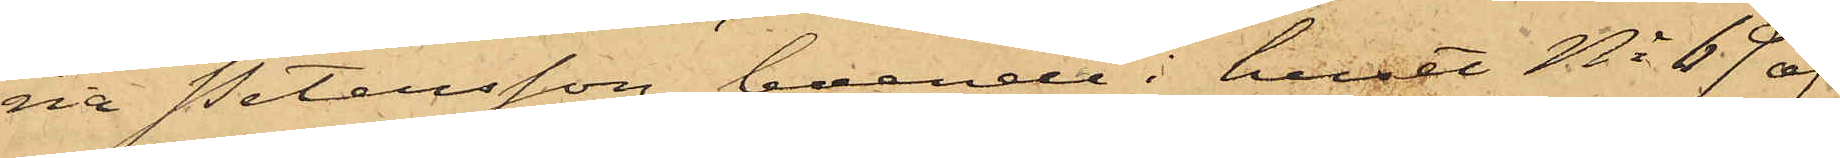ria Petersson, boende i huset No 69 af
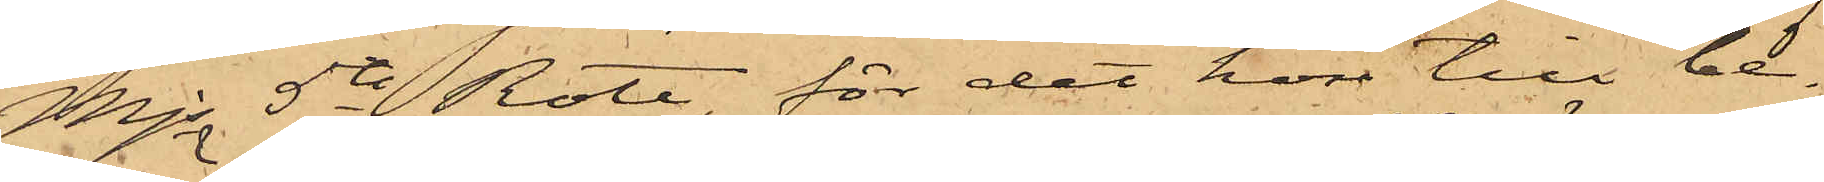Mjs 5te Rote, för det hon till be¬
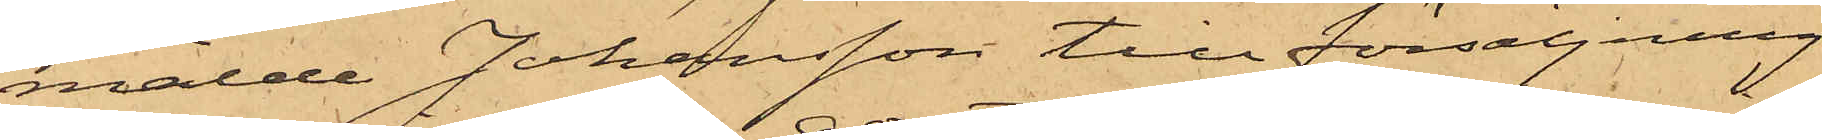mälde Johansson till försäljning
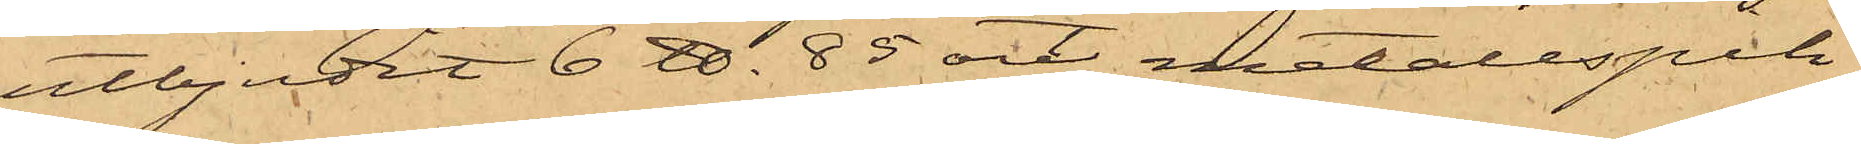utbjudit 6 ℔. 85 ort metallspik,
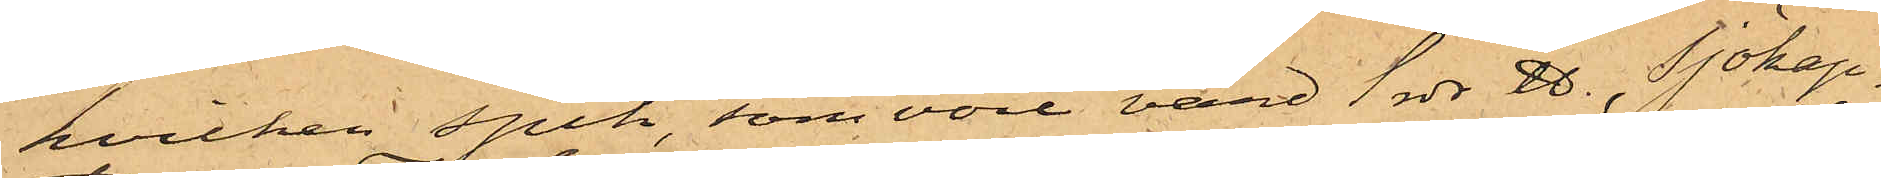hvilken spik, som vore värd 1 rdr ℔., Sjökap¬
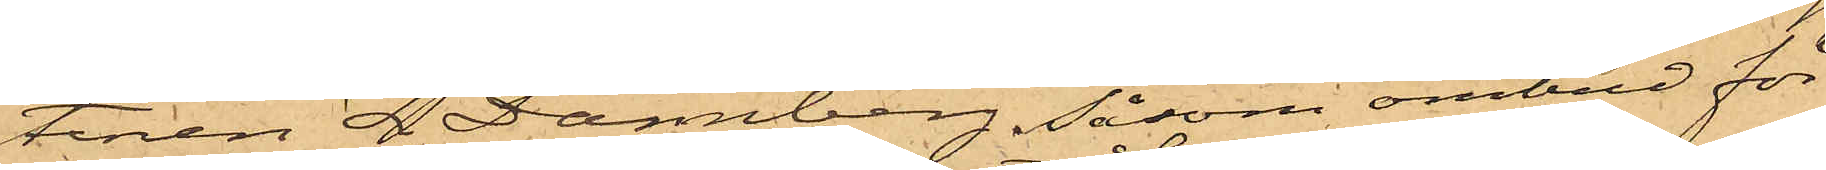tenen Z. Dannberg, såsom ombud för
